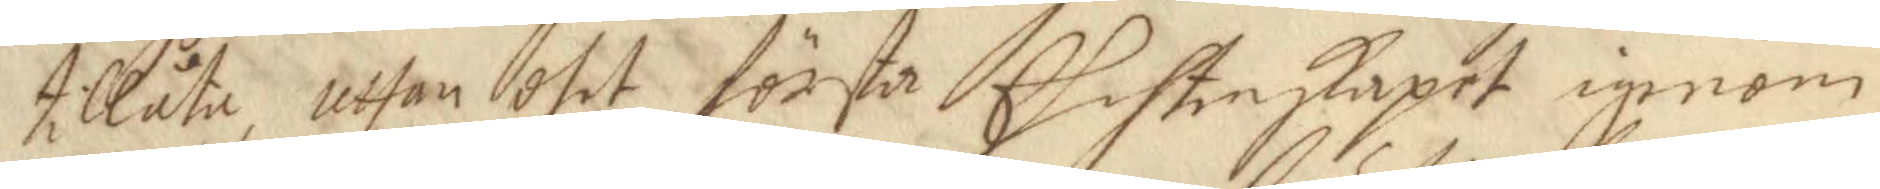tillåta, uthan dhet första Ehchtenskapet igenom
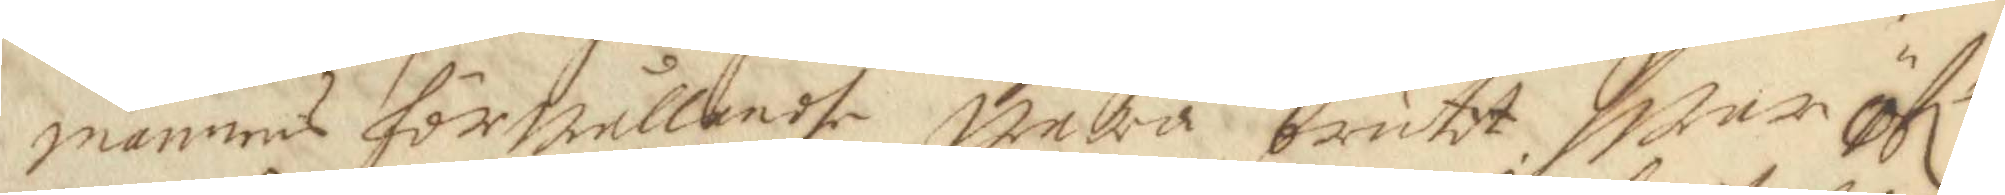mannens förwållandhe wara brutet, hwar öflr 
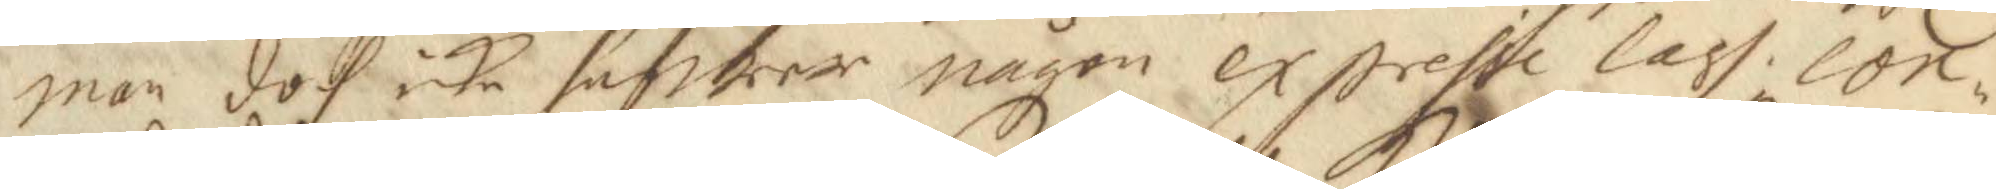man doch icke hafwer någon expresie lagh con¬
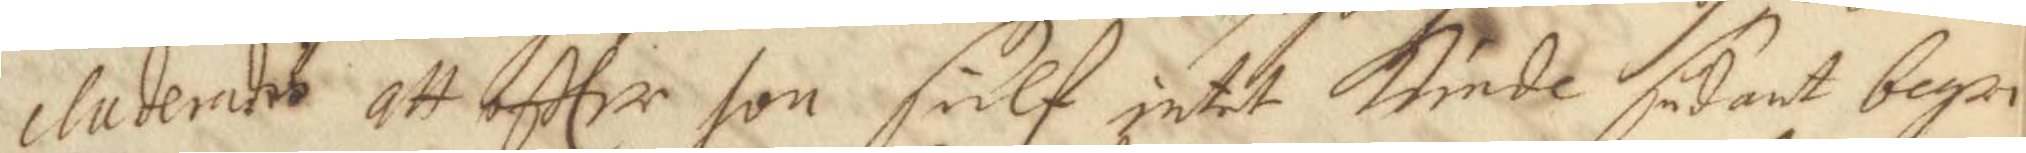cluderades att effter hon sielf intet kunde sådant begri¬
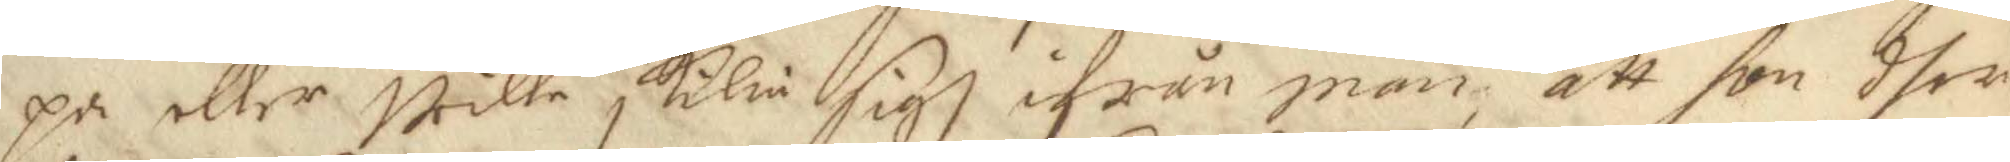pa eller wille skilia sigh ifrån man, att hon dher
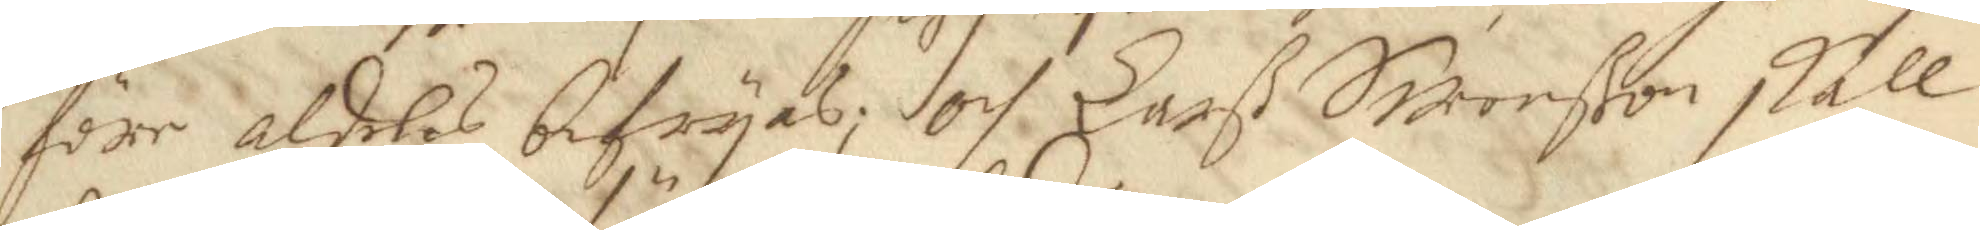före aldeles befryas; och Larß Swenßon skall
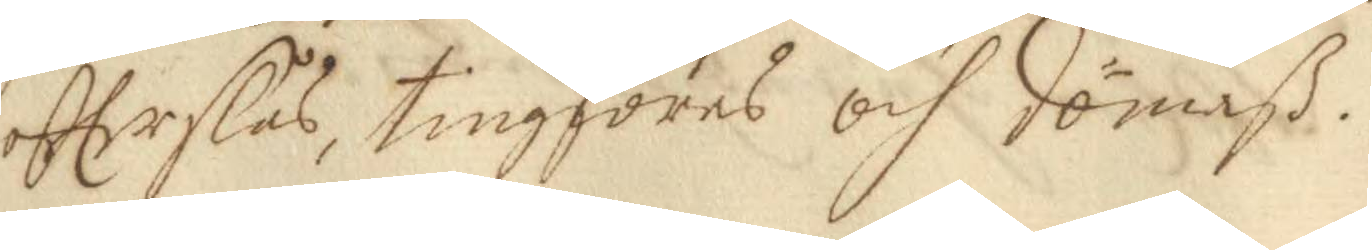effterslås, tingföres och dömaß.
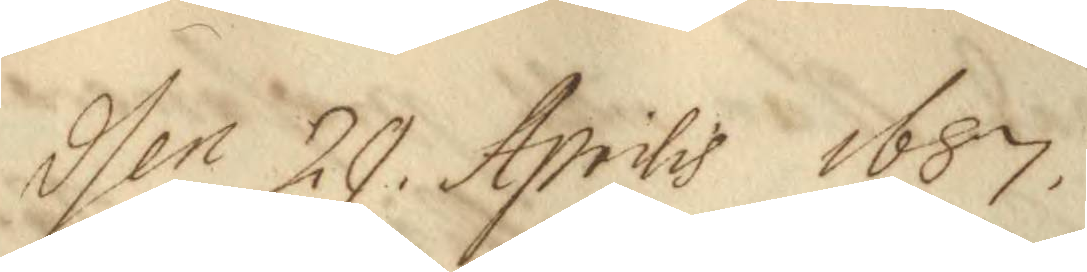Den 29 Aprilis 1687.
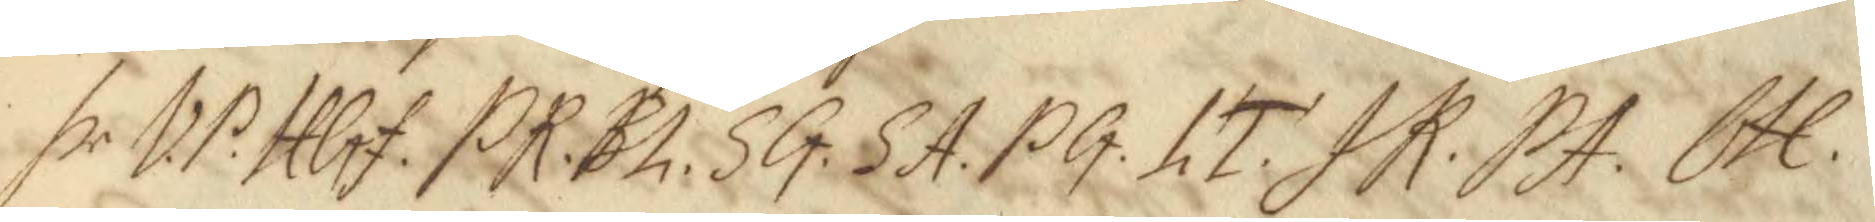hr. VP. HGf. PR. BL. SG. SA. PG. LT. JR. PA. OH. 
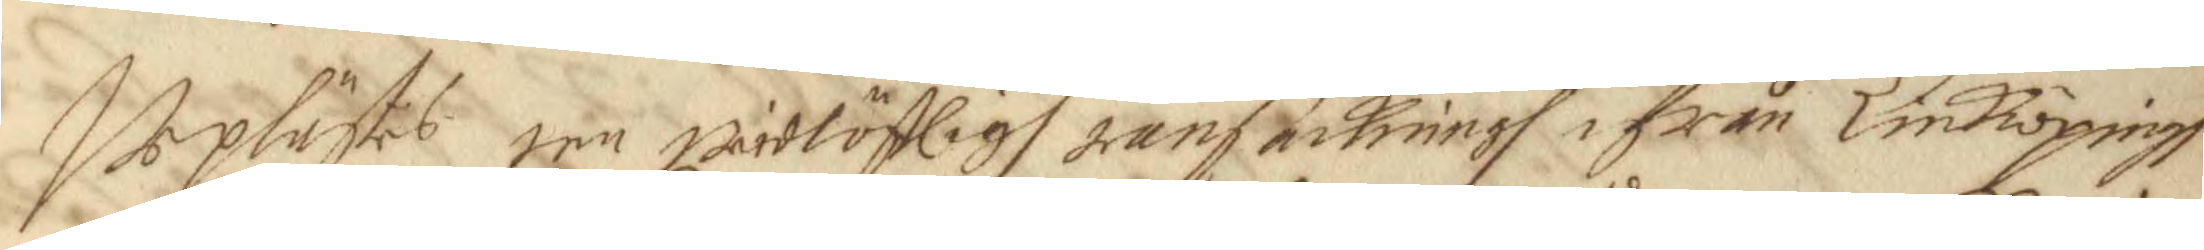Uplästes een weidlöfligh ransackningh ifrån Einköpingh
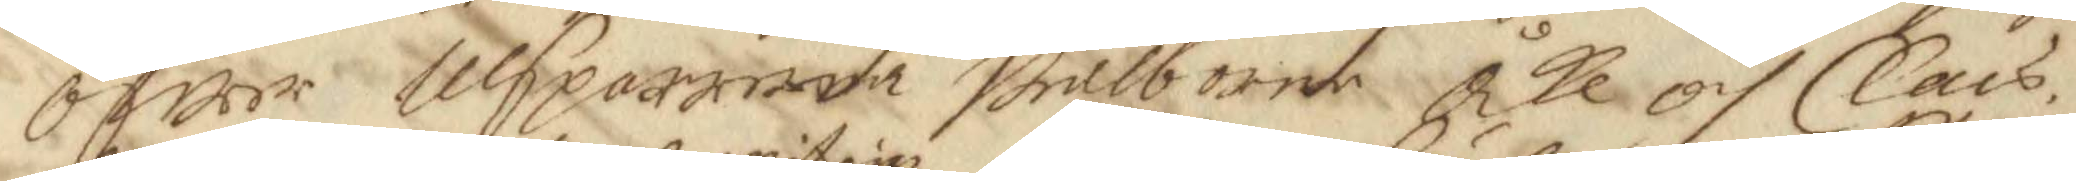öfwer Ulsparrana Wälborne Åke och Clars
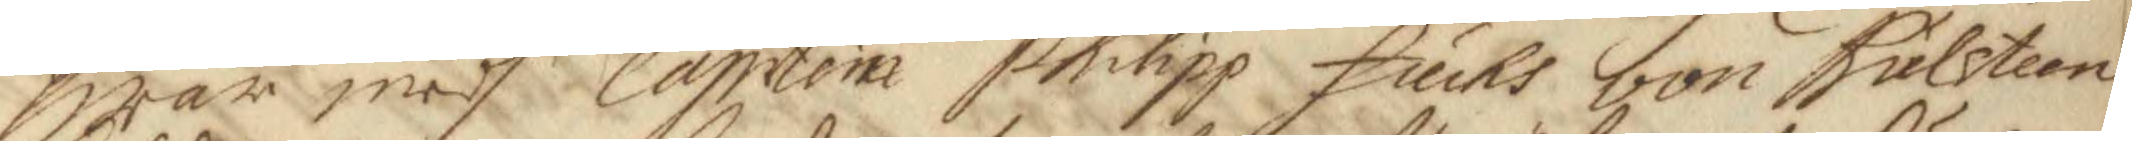hwar medh Capitein Philipp Fuchs von Kulsteen
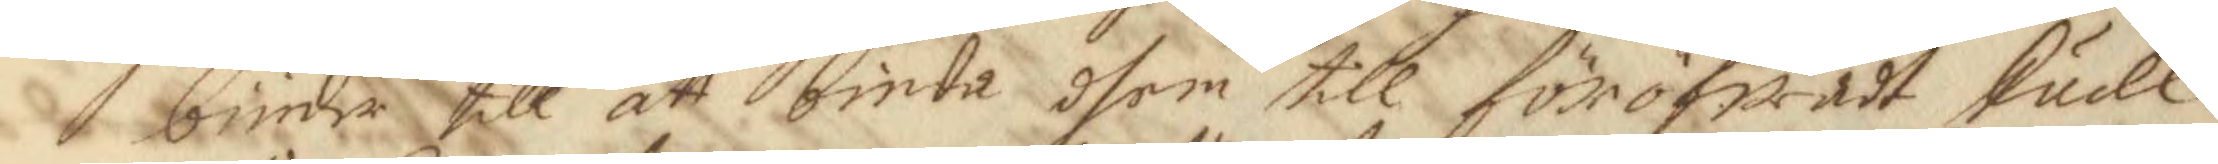biuder till att binda dhem till föröfwadt skudl
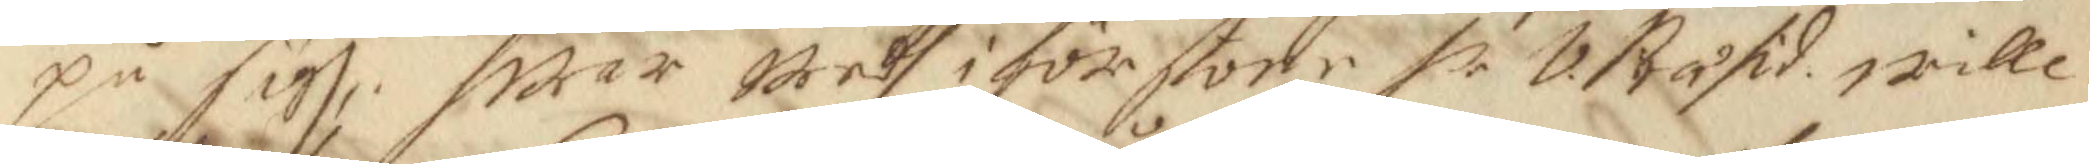på sigh, hwar wedh i förstone hr v. Råsid wille 
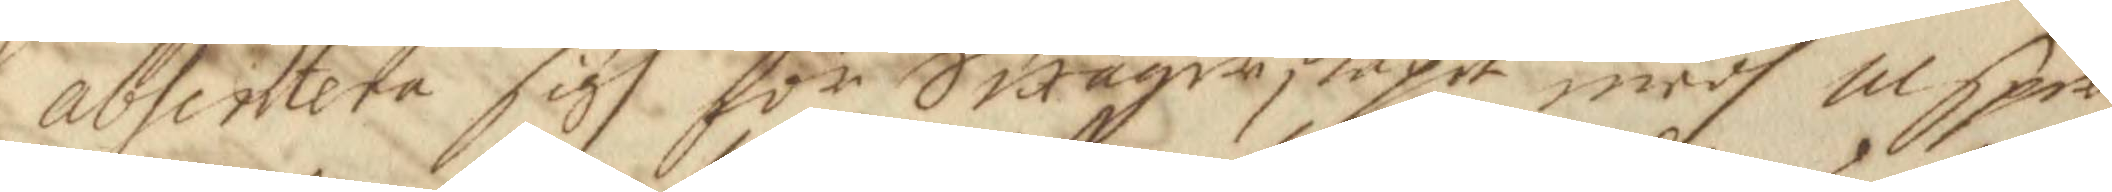absentera sigh för Swågerskapet medh Ulspar¬
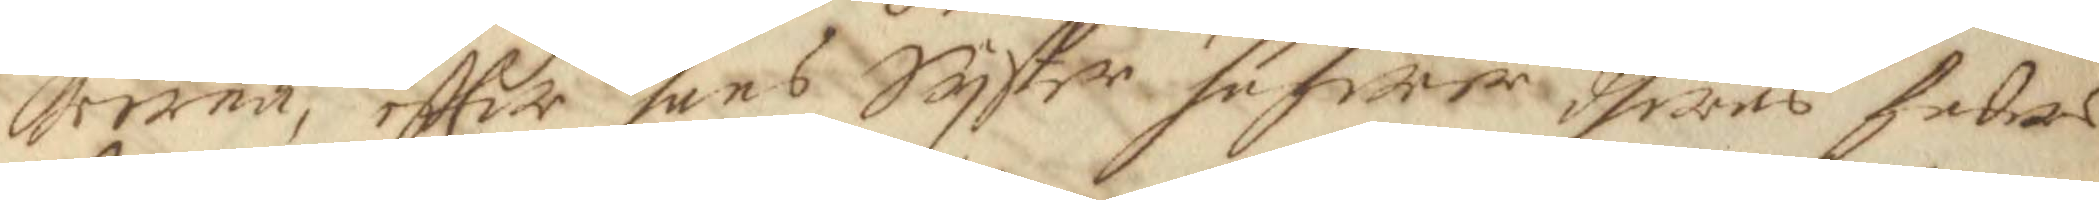rarna, effter hans Syster hafwer dheras faders
